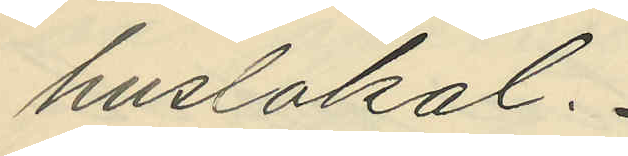huslokal.
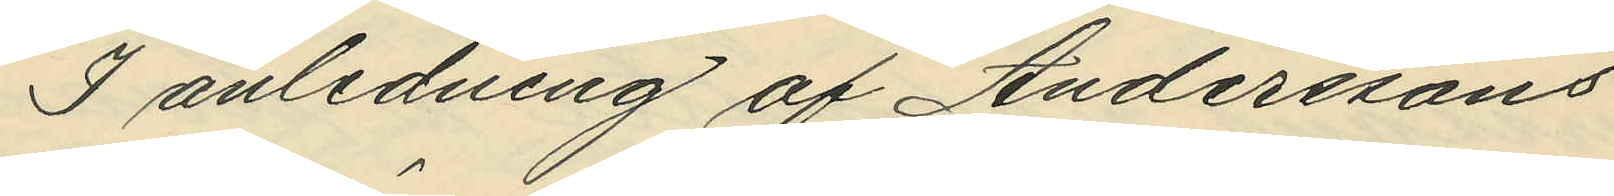I anledning af Anderssons
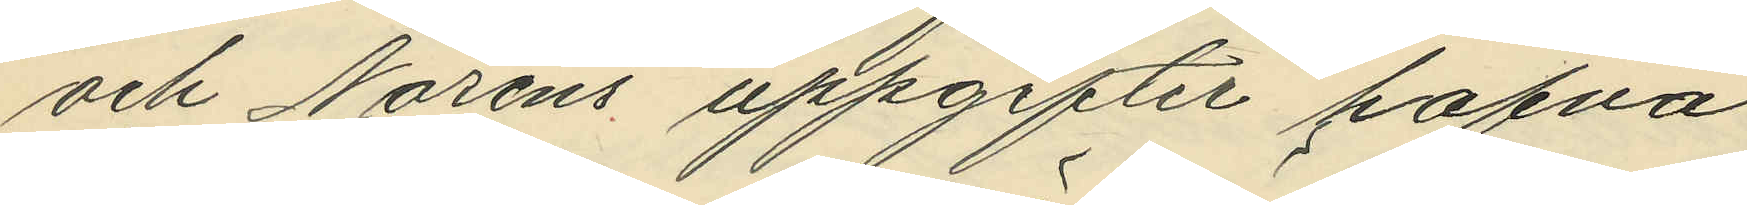och Noréns uppgifter hafva
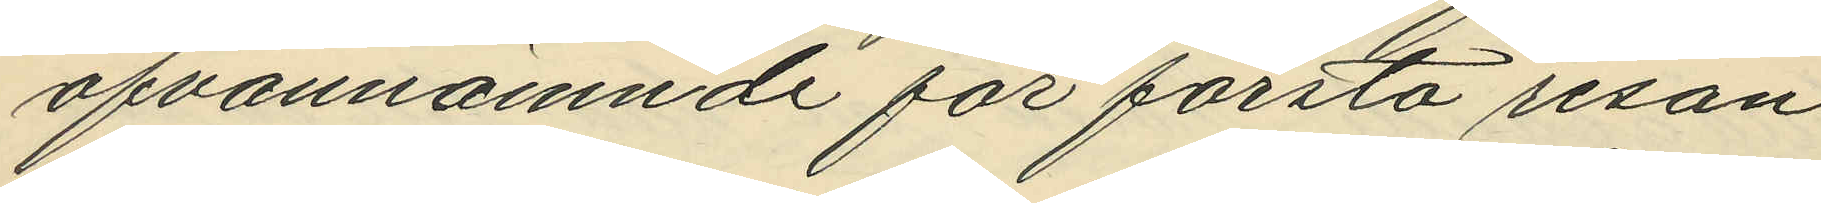ofvannämnde för första resan
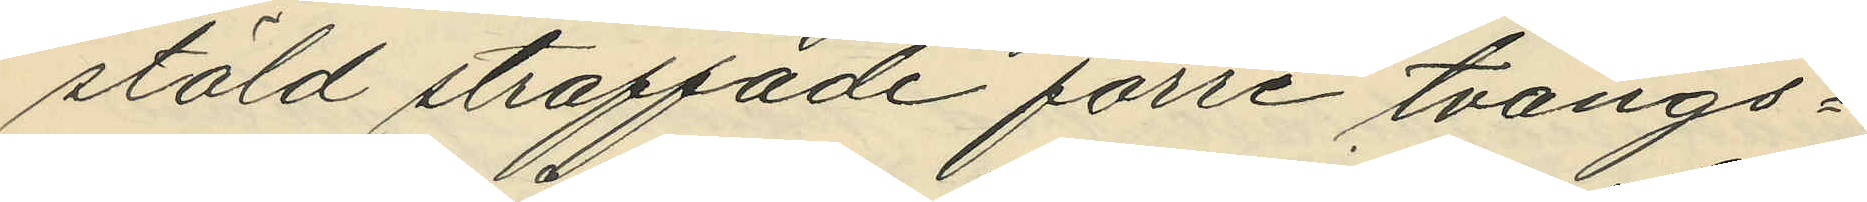stöld straffade förre tvångs¬
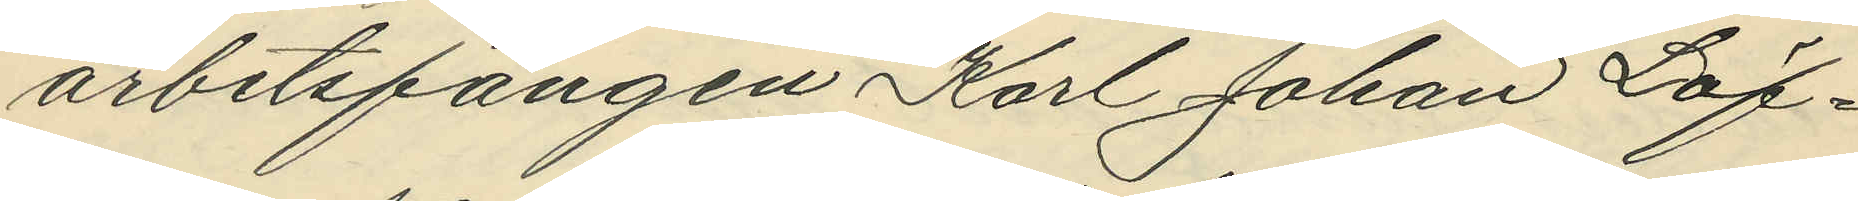arbetsfången Karl Johan Löf¬
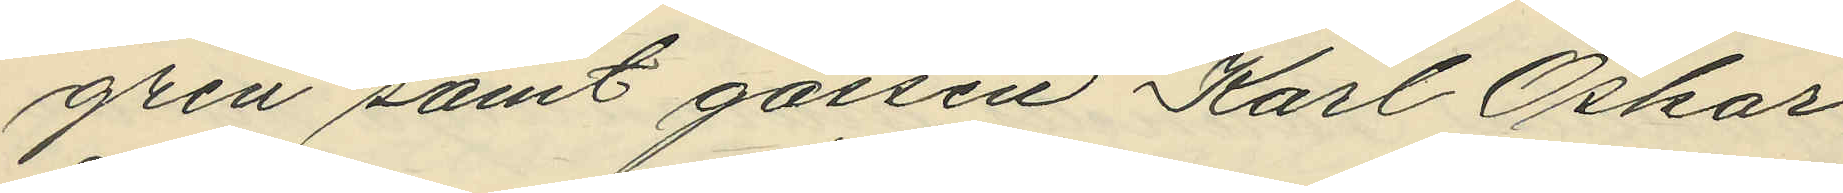gren samt gossen Karl Oskar
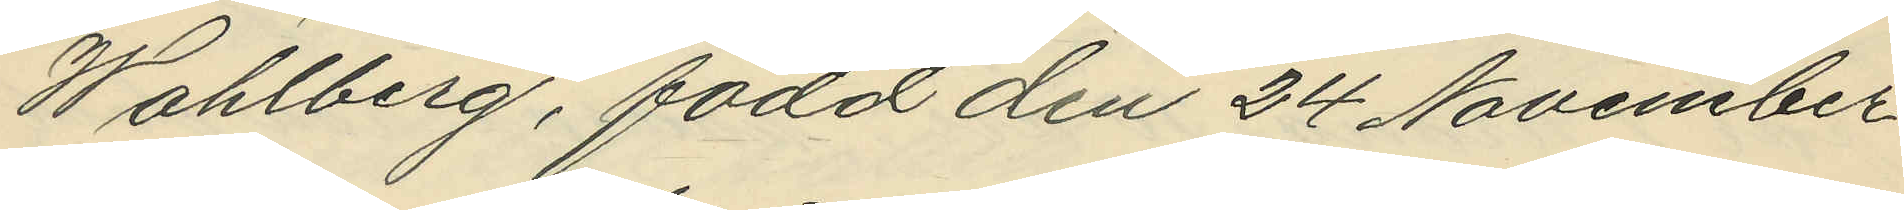Wahlberg, född den 24 November
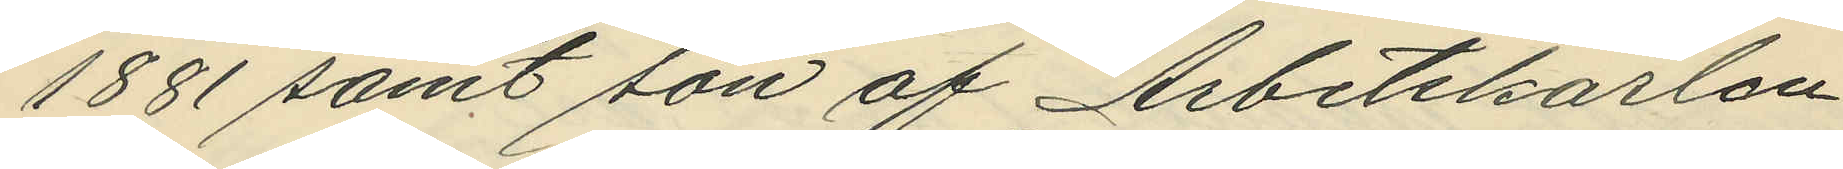1881 samt son af Arbetskarlen
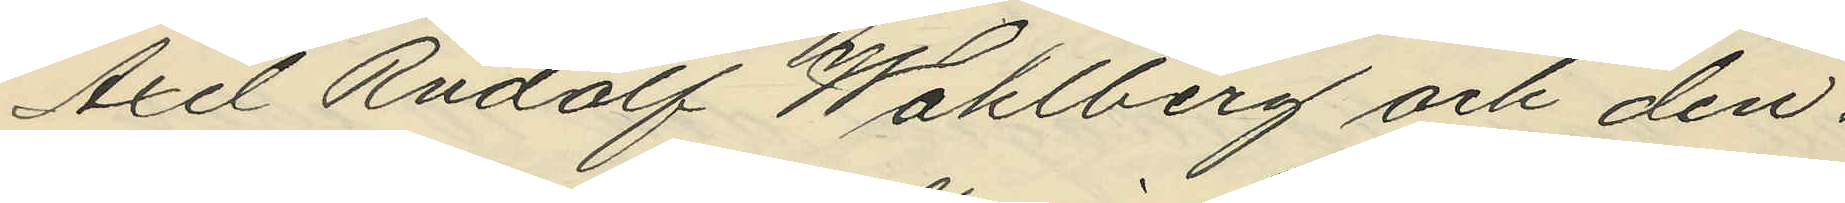Axel Rudolf Wahlberg och den¬
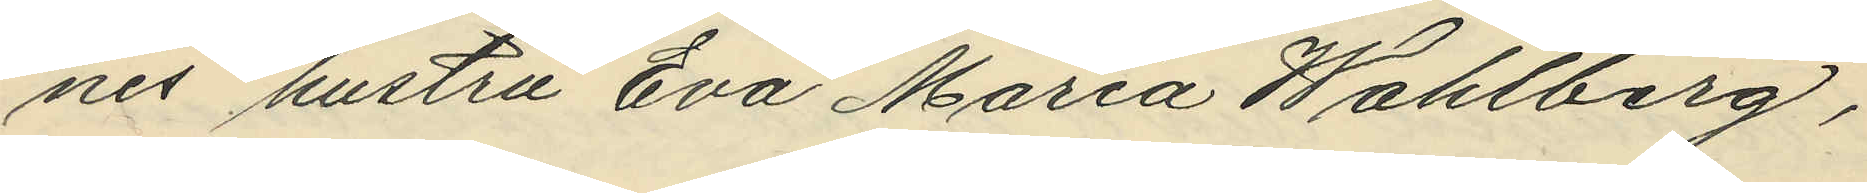nes hustru Eva Maria Wahlberg,
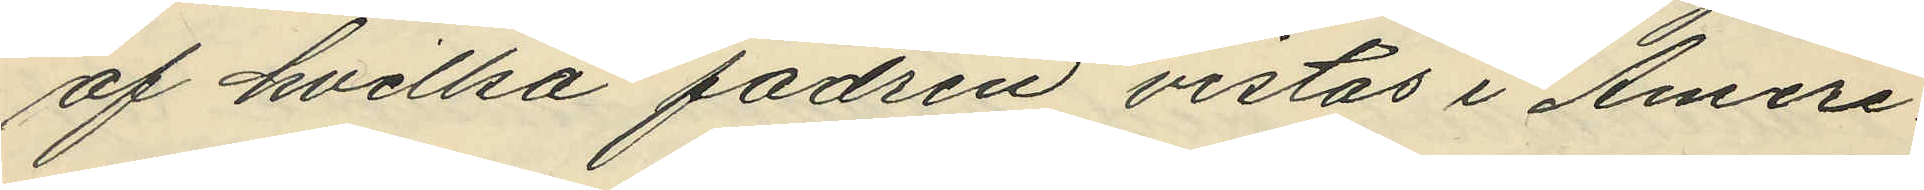af hvilka fadren vistas i Ameri¬
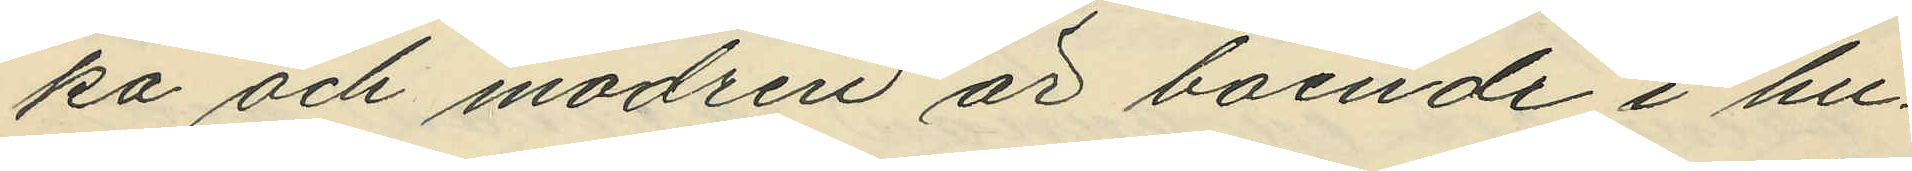ka och modren är boende i hu¬
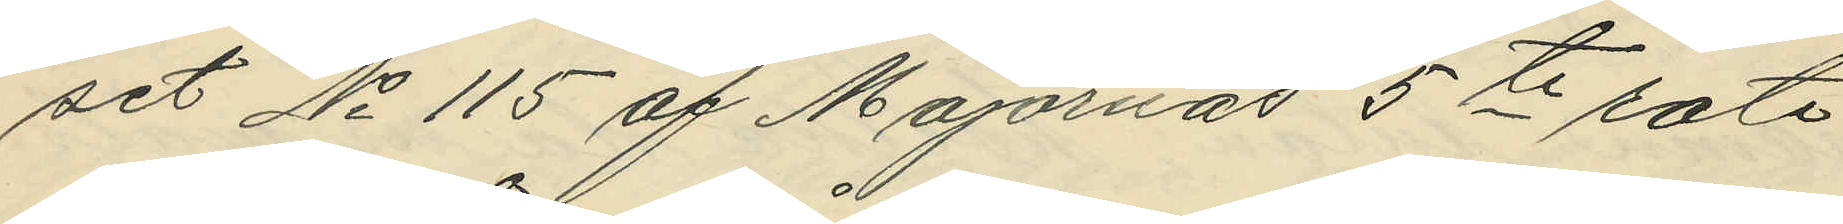set No 115 af Majornas 5te rote
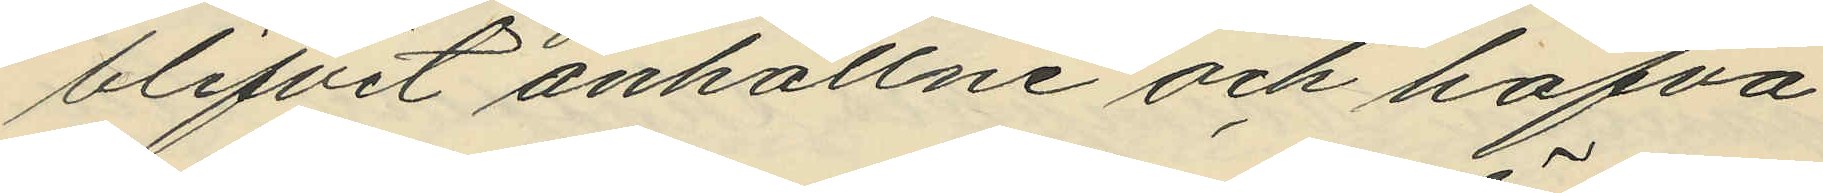blifvit anhållne och hafva
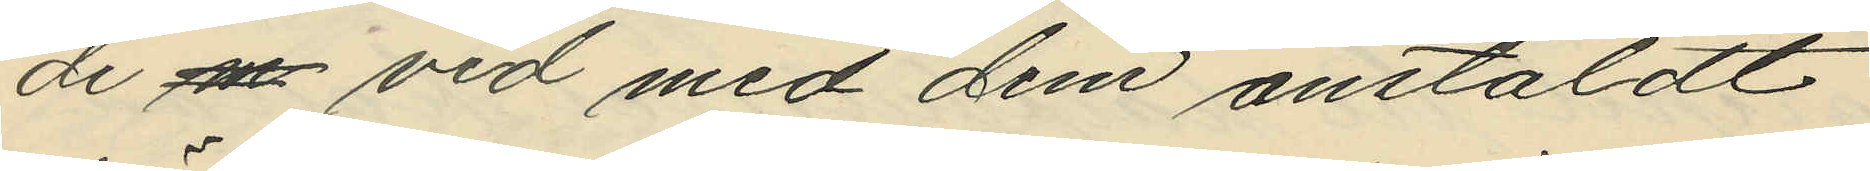de m vid med dem anstäldt
